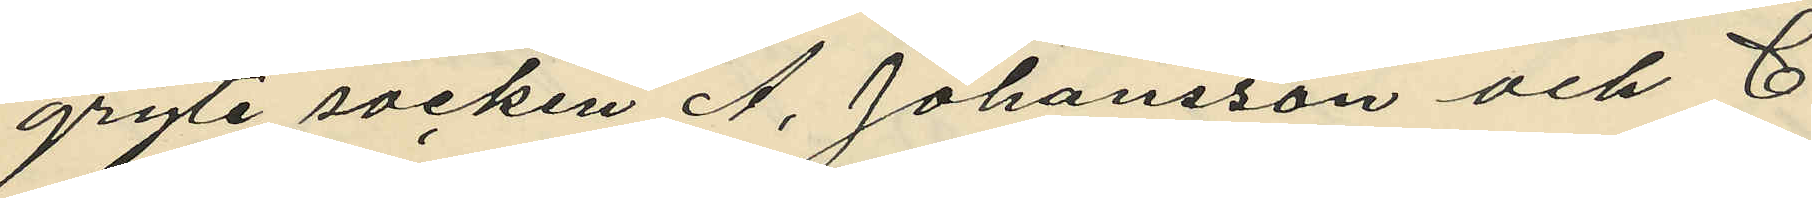gryte socken A. Johansson och C.
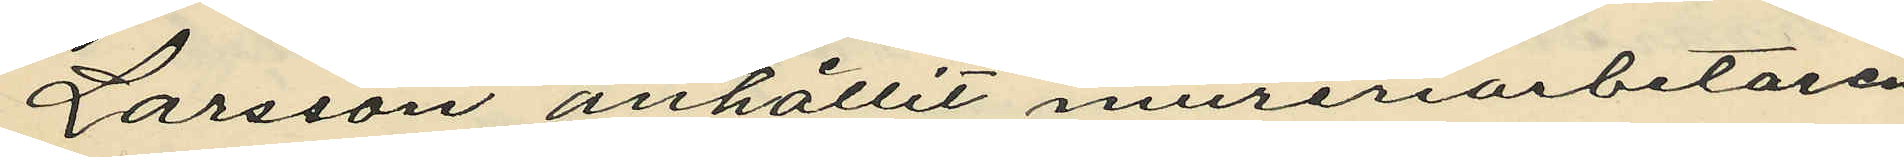Larsson anhållit mureriarbetaren
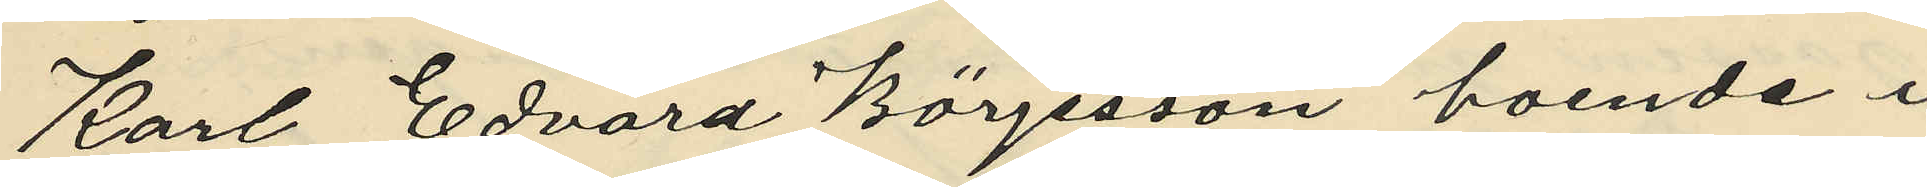Karl Edvard Börjesson boende i
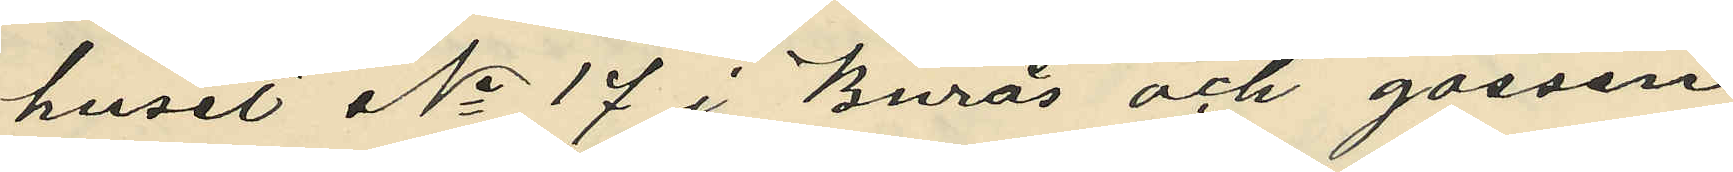huset No 17 i Burås och gossen
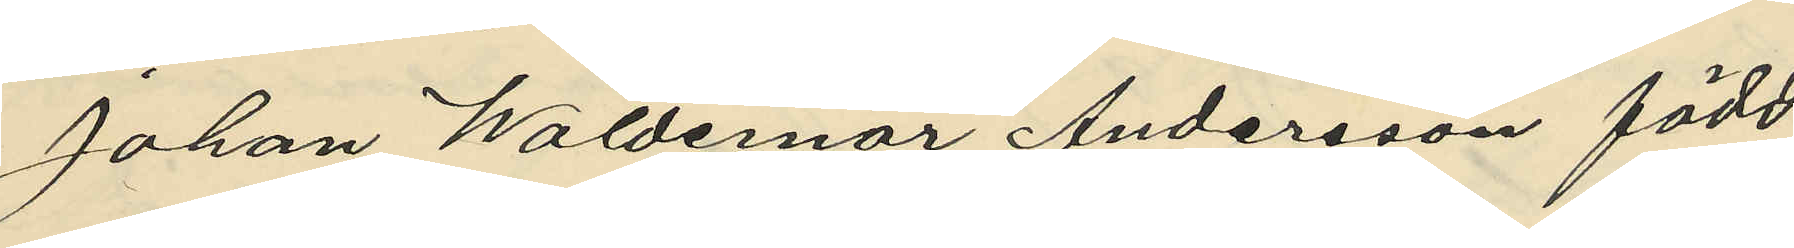Johan Waldemar Andersson född
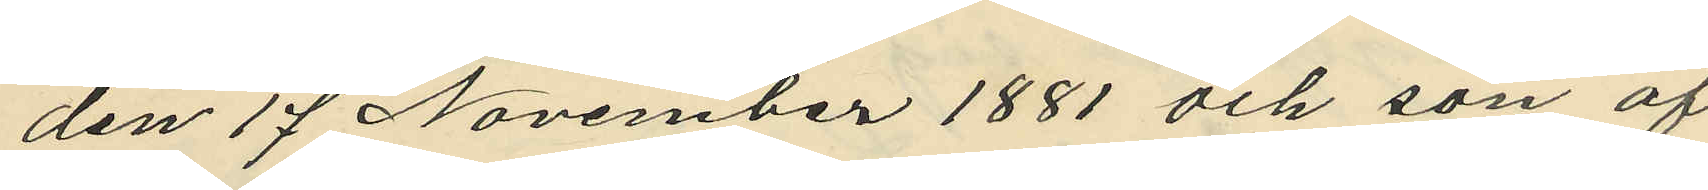den 17 November 1881 och son af
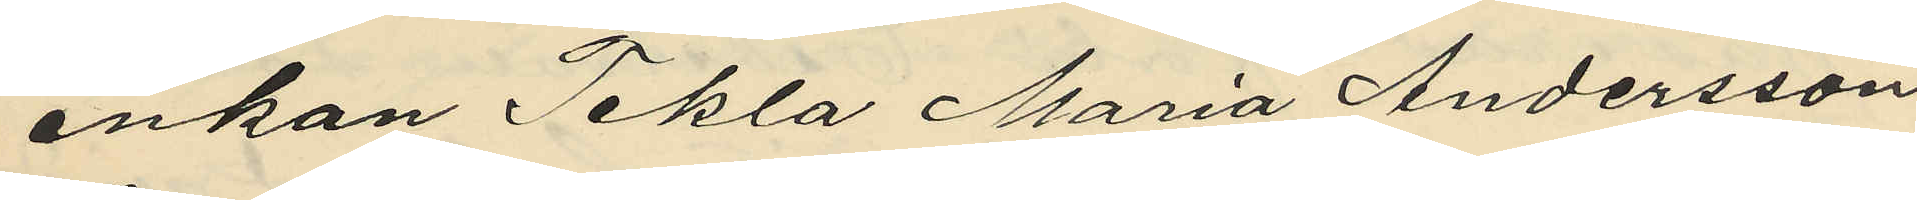enkan Tekla Maria Andersson
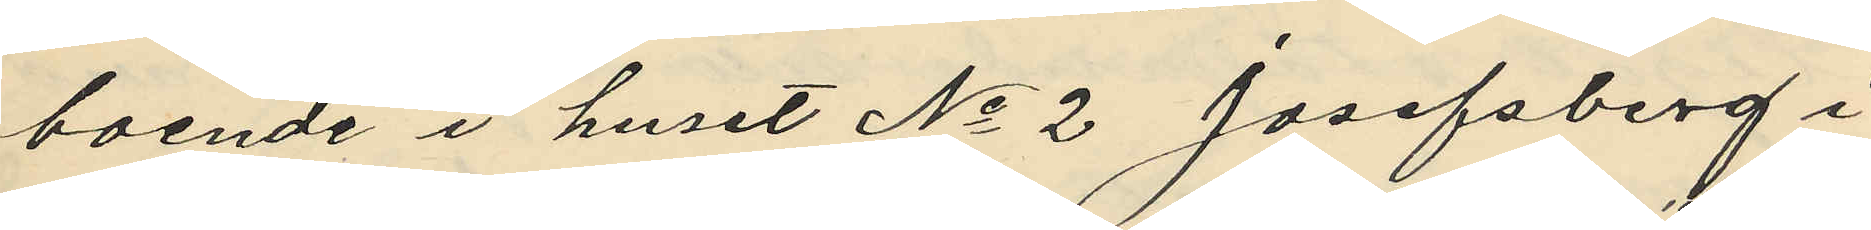boende i huset No 2 Josefsberg i
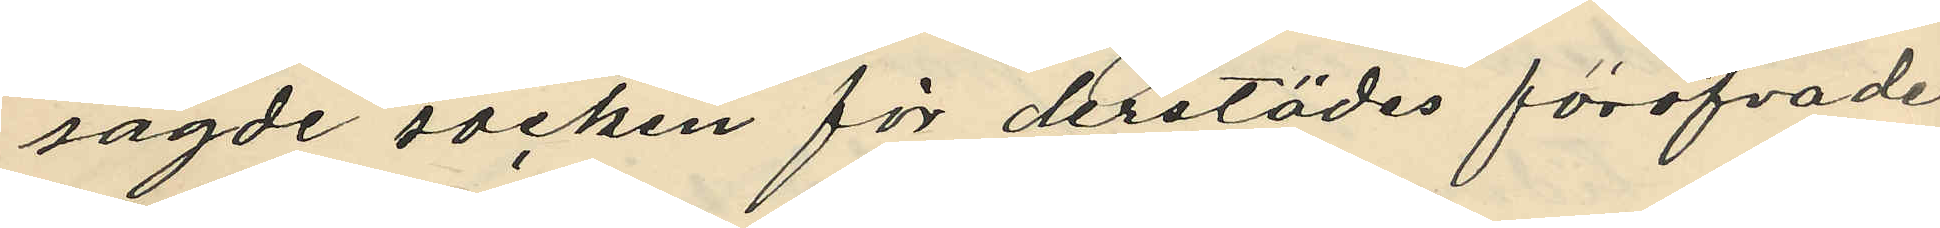sagde socken för derstädes föröfvade
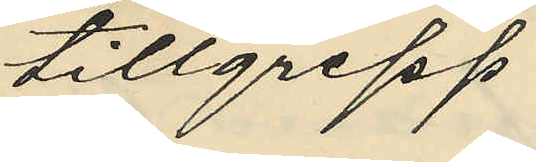tillgrepp.
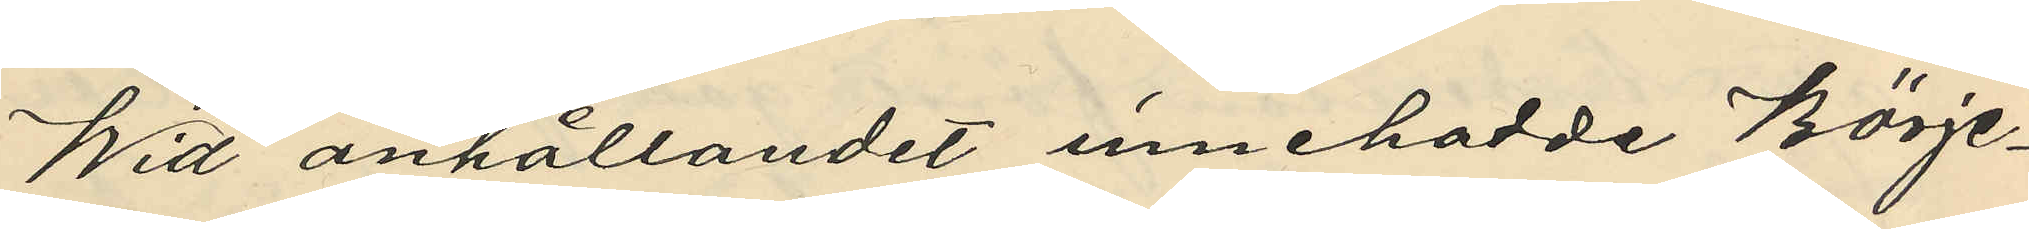Wid anhållandet innehadde Börje¬
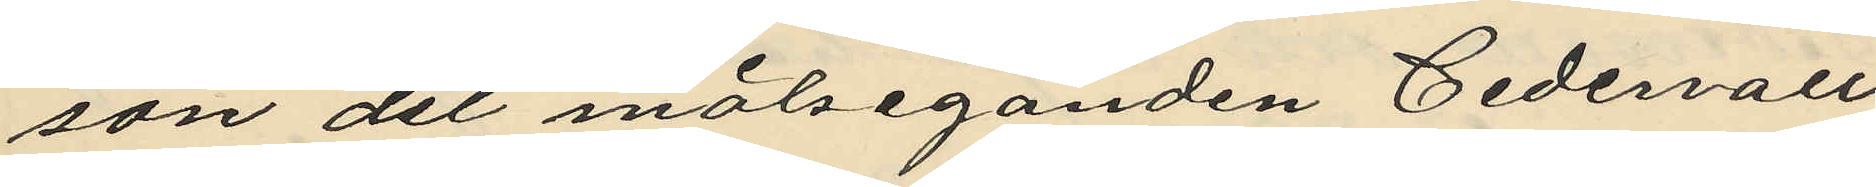son det målseganden Cedervall
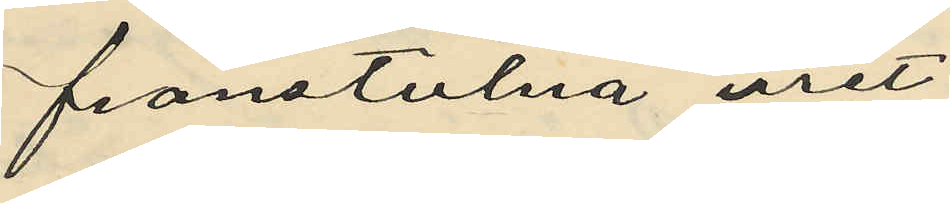franstulna uret;
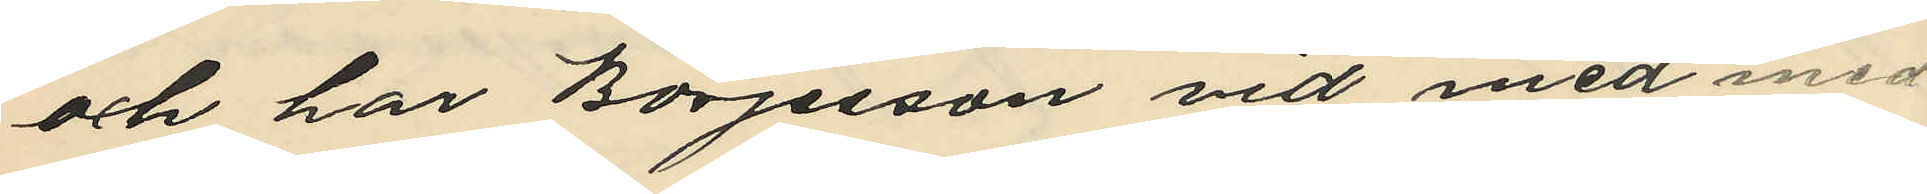och har Börjesson vid med med
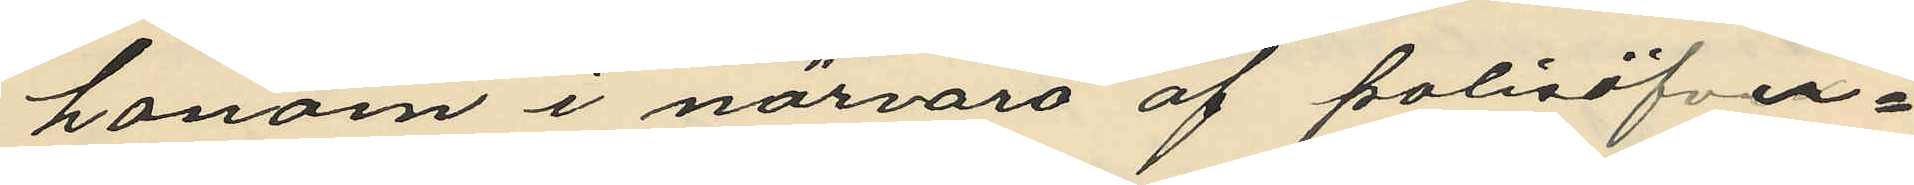honom i närvaro af polisöfver¬
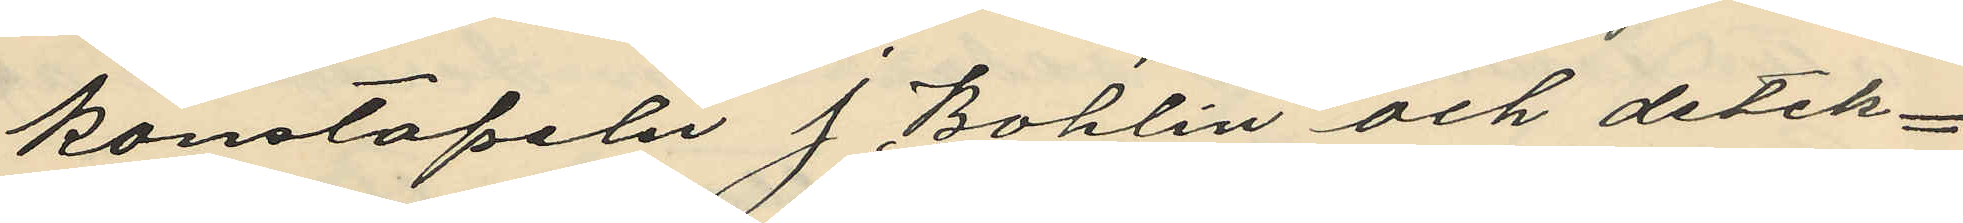konstapeln J. Bohlin och detek¬
